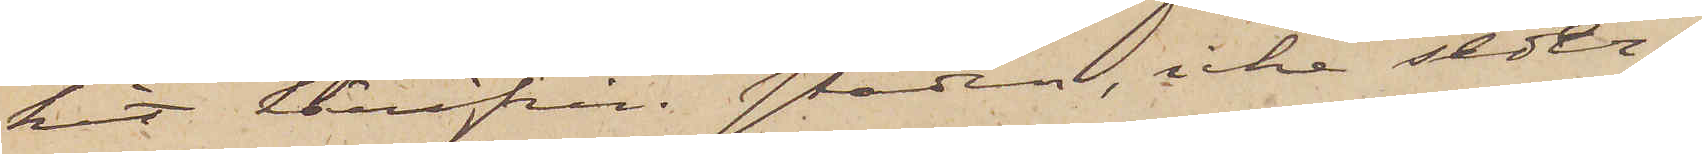kit härifrån staden, icke seder¬
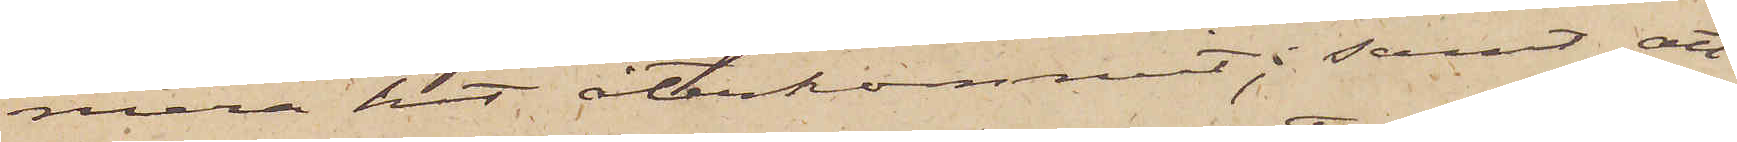mera hit återkommit; samt att
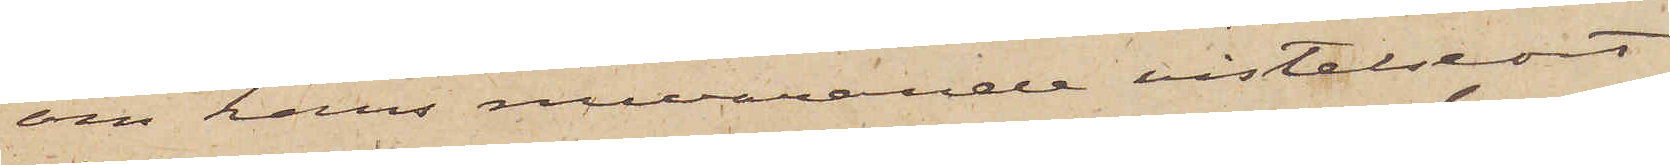om hans nuvarande vistelseort
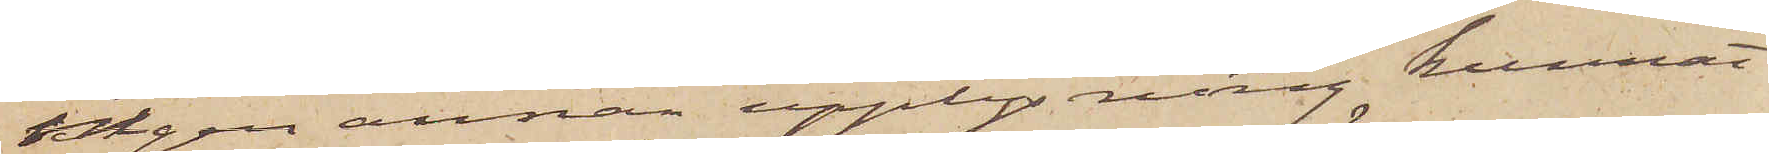ingen annan upplysning kunnat
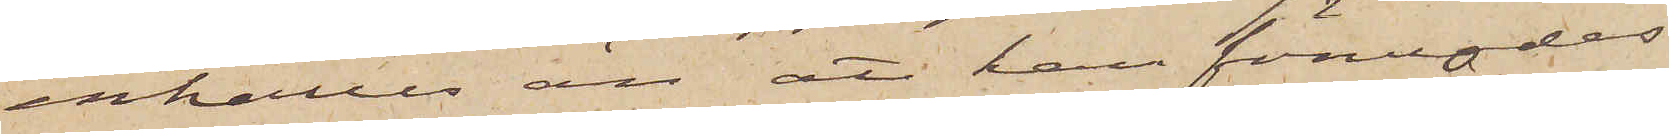enhålles än att han förmodas
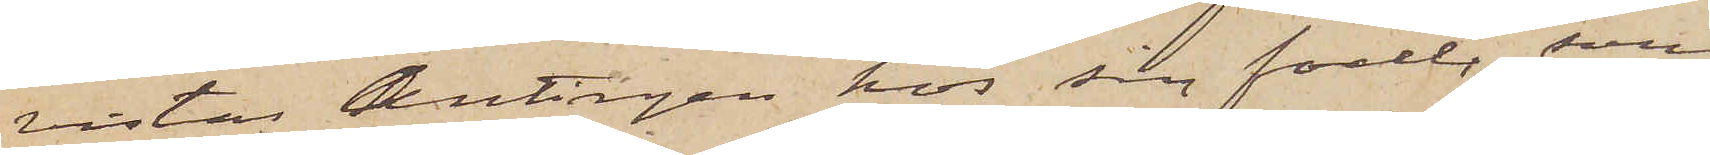vistas Antingen hos sin fader, som
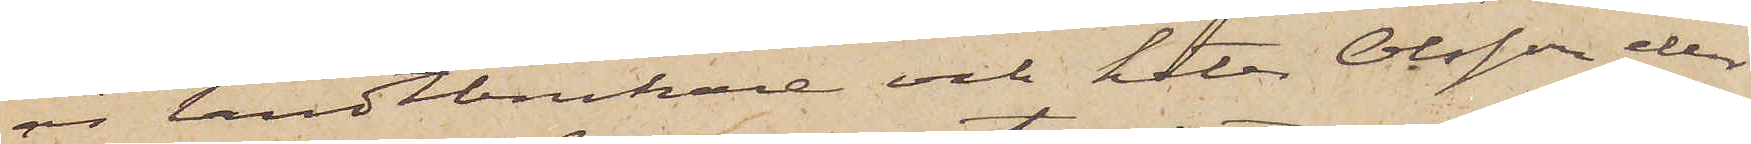är landtbrukare och heter Olsson eller
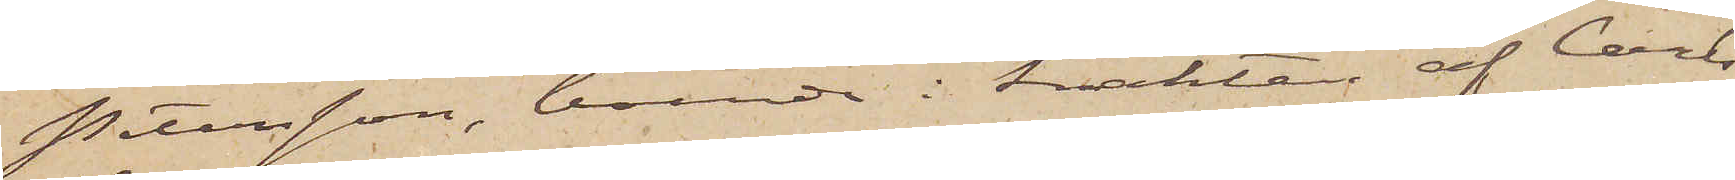Petersson, boende i trakten af Carls¬
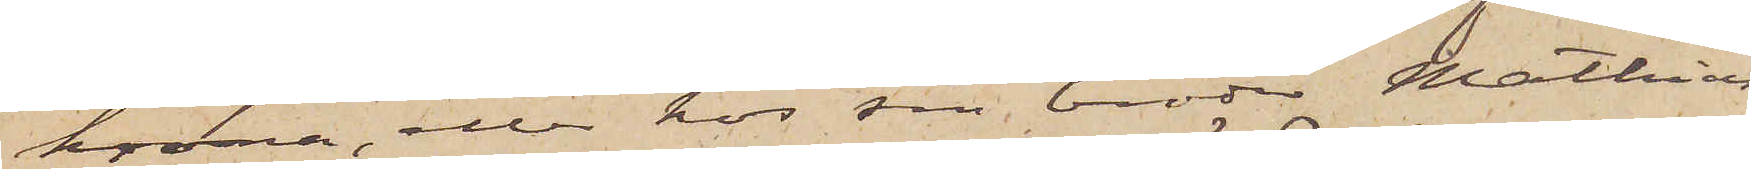krona, eller hos sin broder Mathias
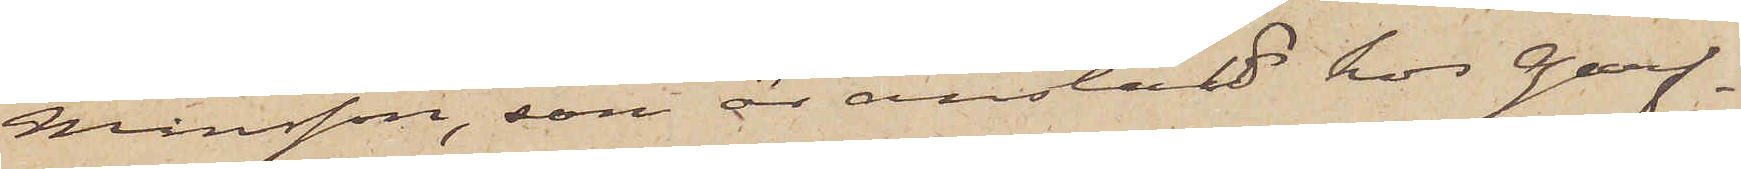Månsson, som är anstäld hos Garf¬
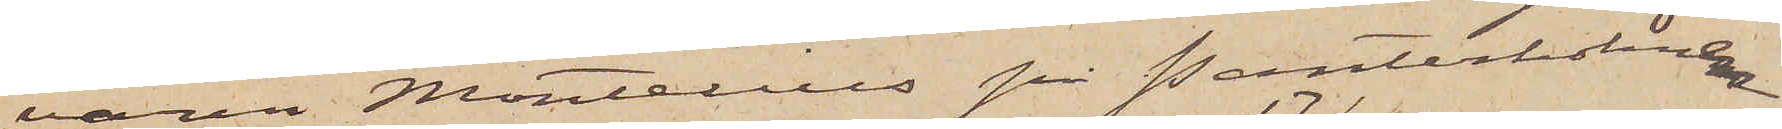varen Montelius på Pantarholmen
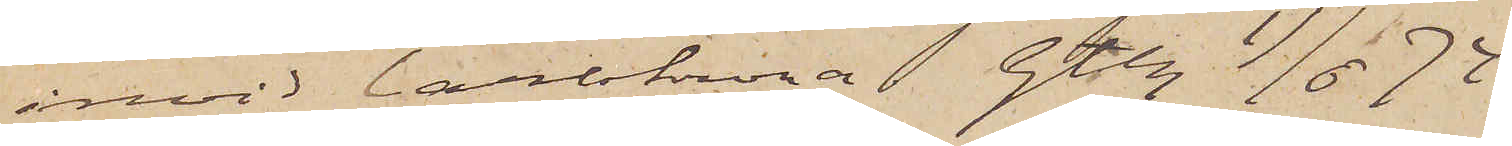invid Carlskrona. Gtbg 17/6  74.
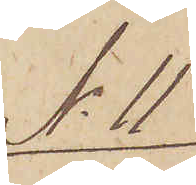No 11
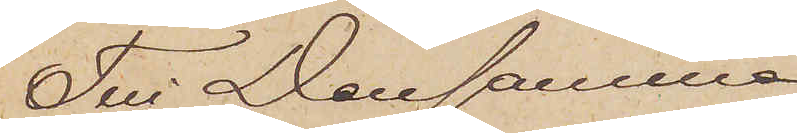Till densamma.
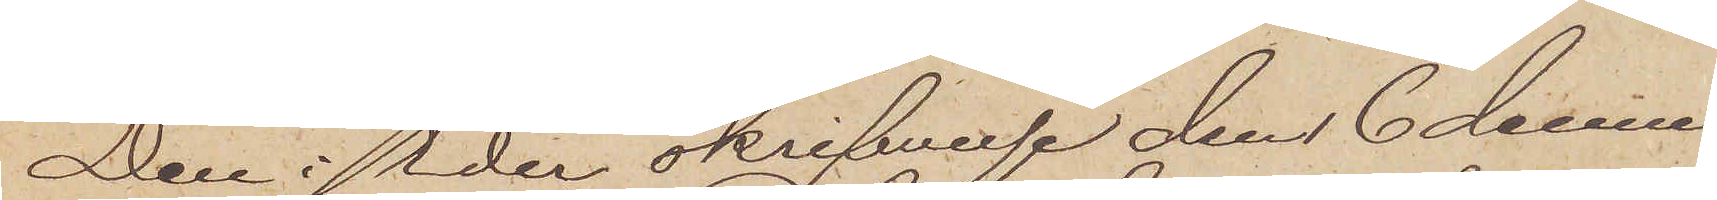Den i Eder skrifvelse den 6 dennes
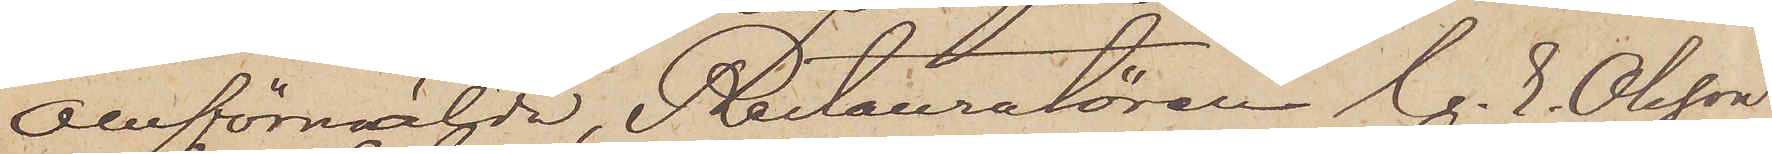omförmälde Restauratören C. E. Olsson
